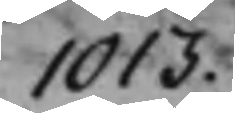1013.
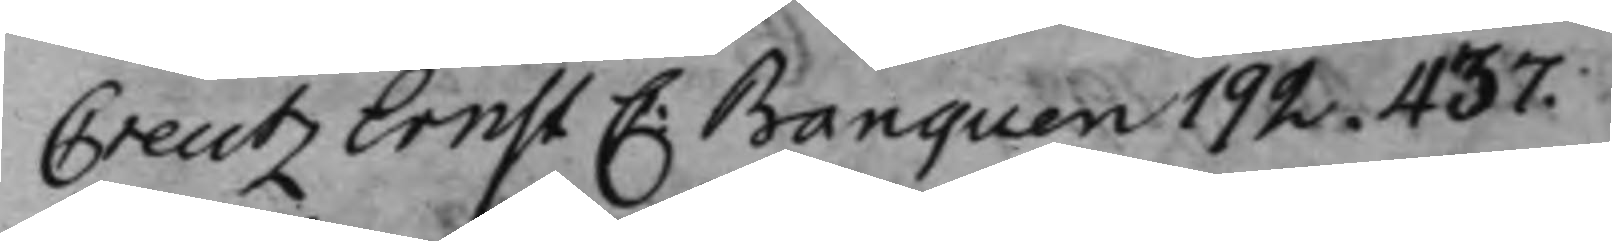Creutz Ernst C: Banquen 192. 437.
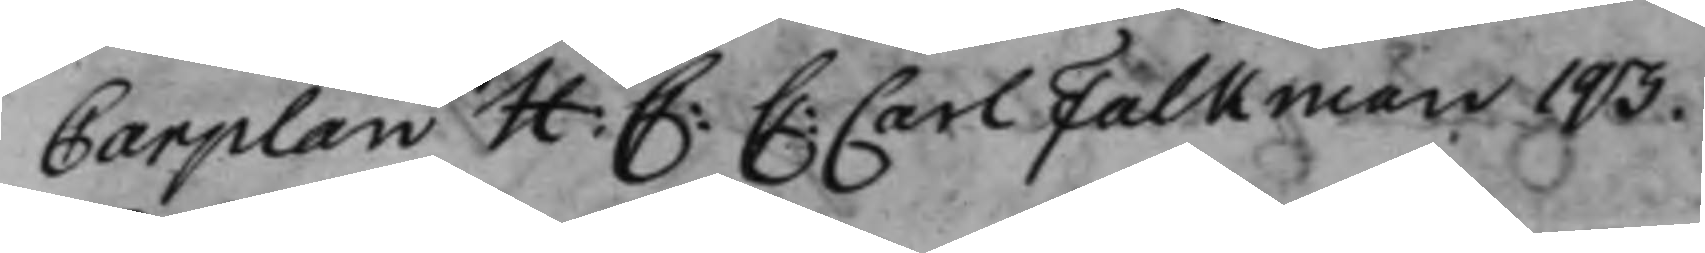Carplan H: C: C: Carl Falkman 193.
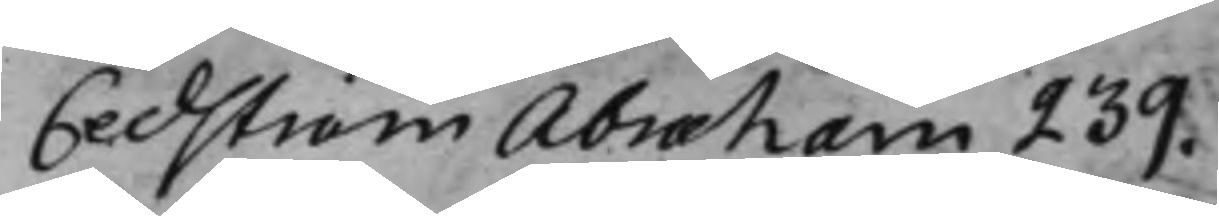Cedström Abraham 239.
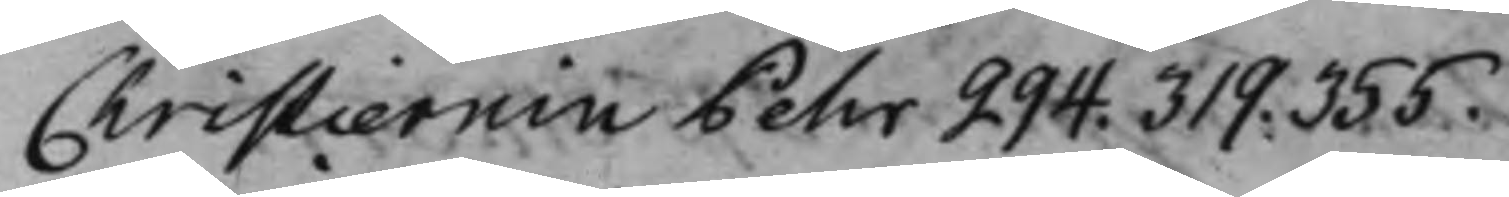Christiernin Pehr 294. 319. 355.
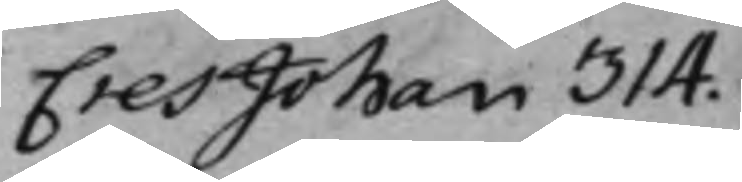Cres Johan 314.
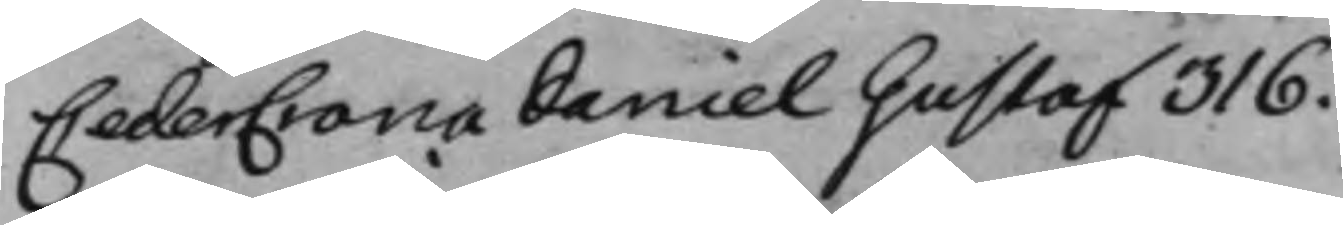CederCrona Daniel Gustaf 316.
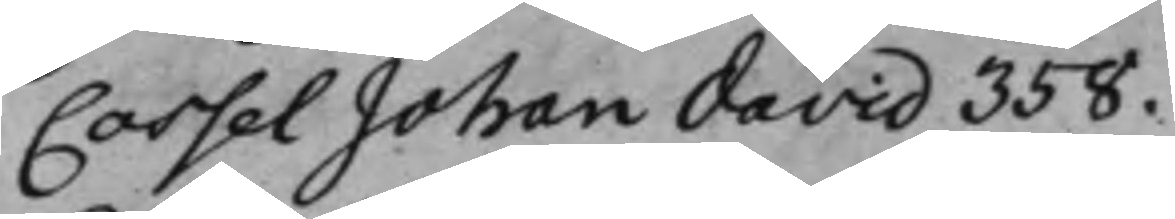Cassel Johan David 358.
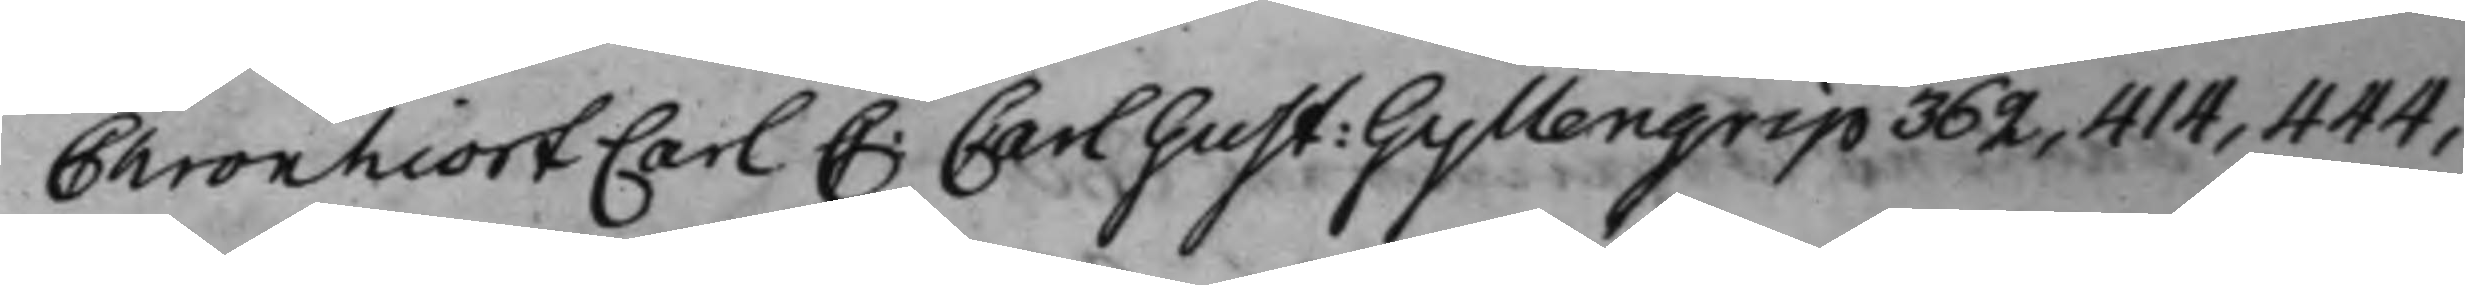Chronhiort Carl C: Carl Gust: Gyllengrip 362, 414, 444,
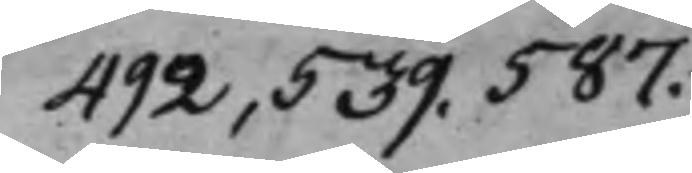492, 539. 587.
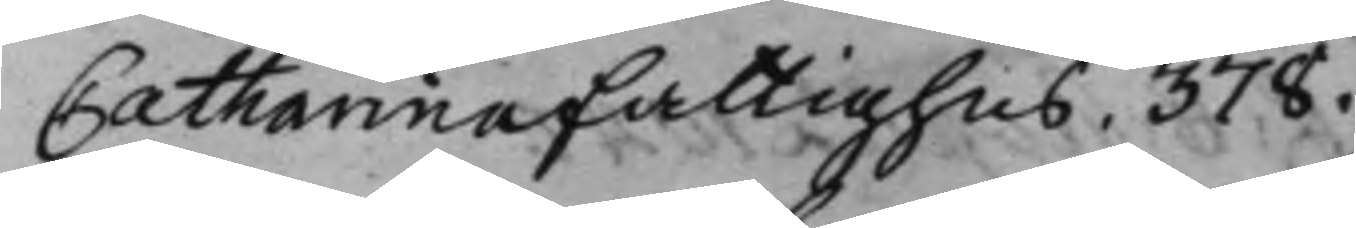Catharina fattighus. 378.
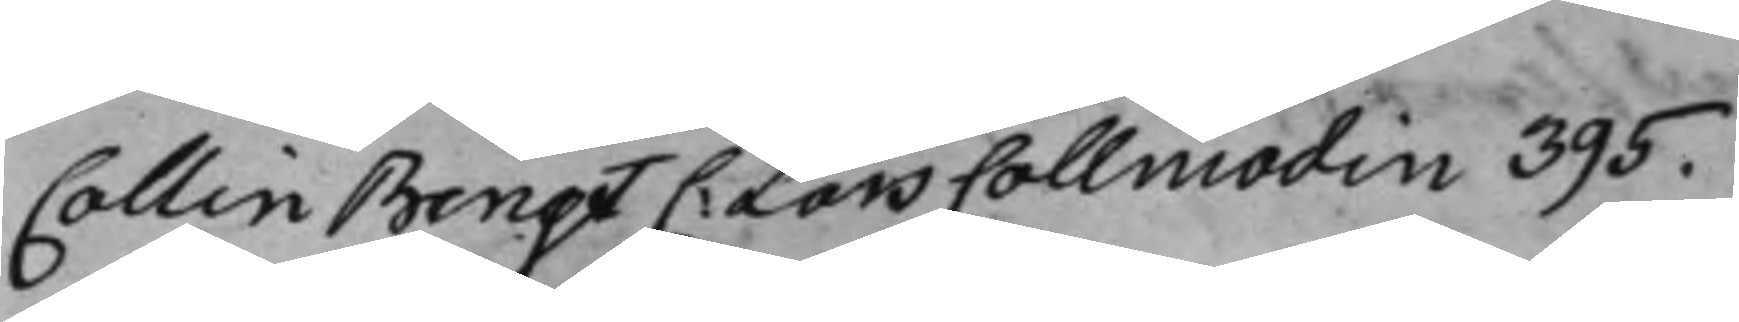Collin Bengt C: Lars Collmodin 395.
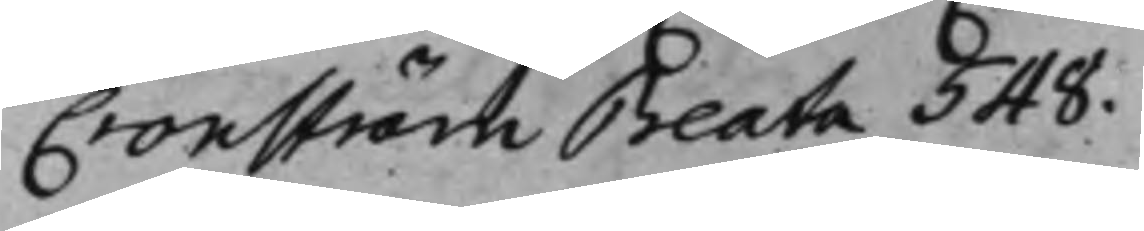Cronström Beata 548.
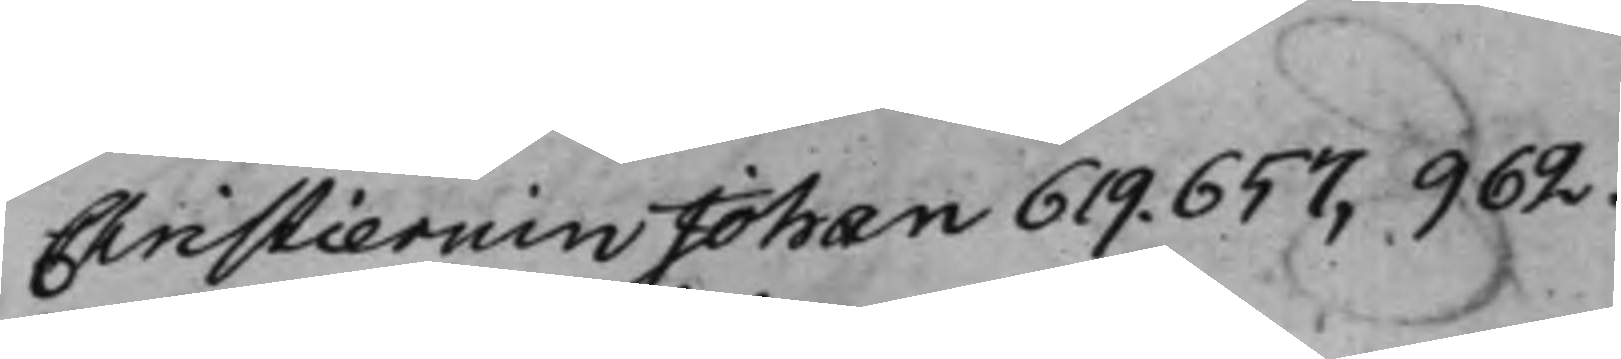Christiernin Johan 619. 657, 962.
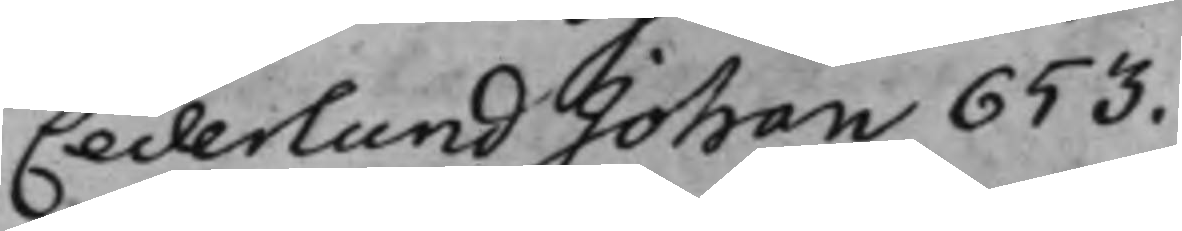Cederlund Johan 653.
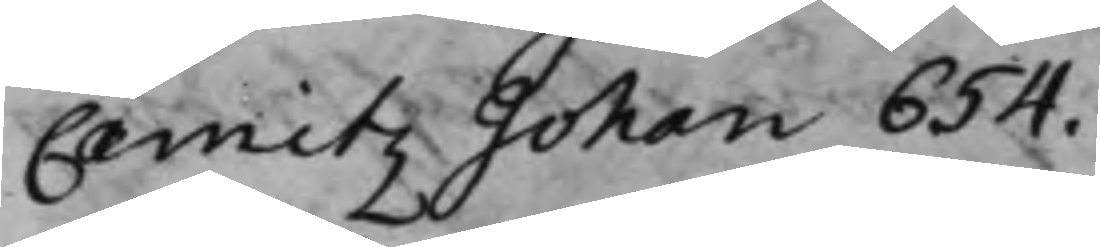Camitz Johan 654.
